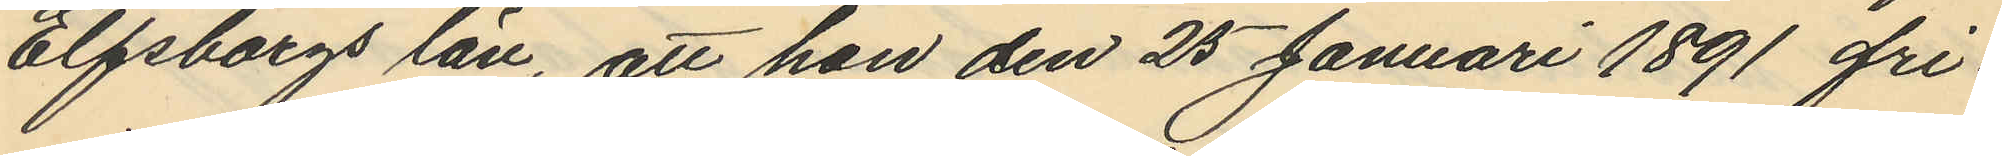Elfsbergs län, att hon den 25 Januari 1891 fri¬
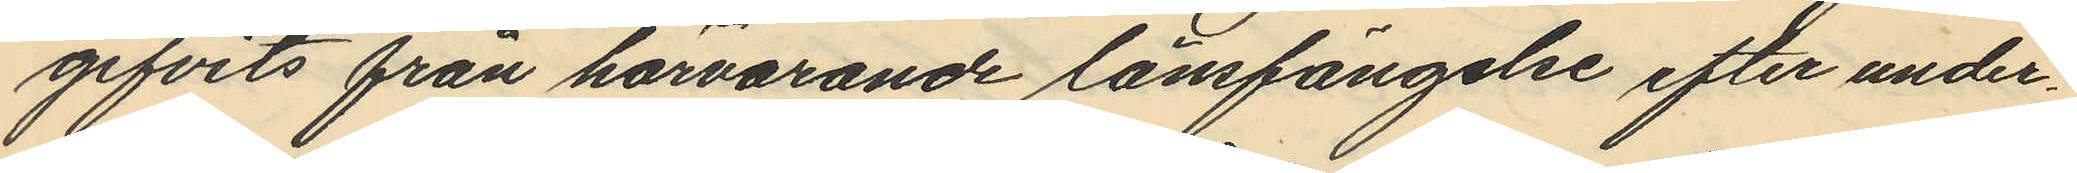gifvits från härvarande länsfängelse efter under¬
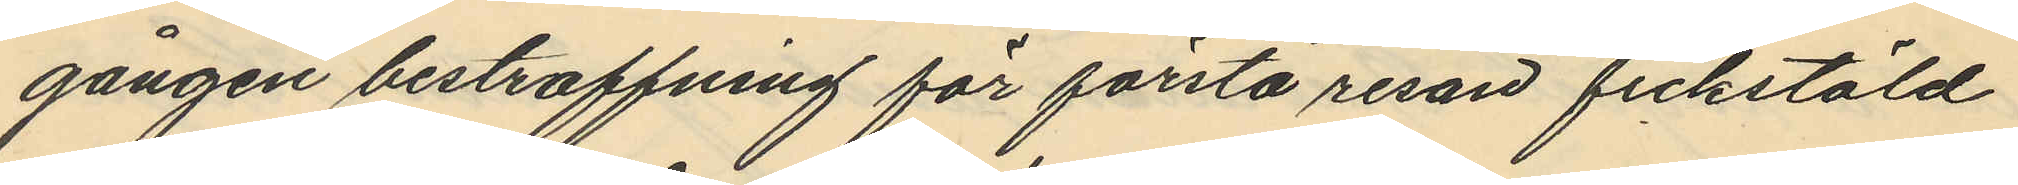gången bestraffning för första resan fickstöld
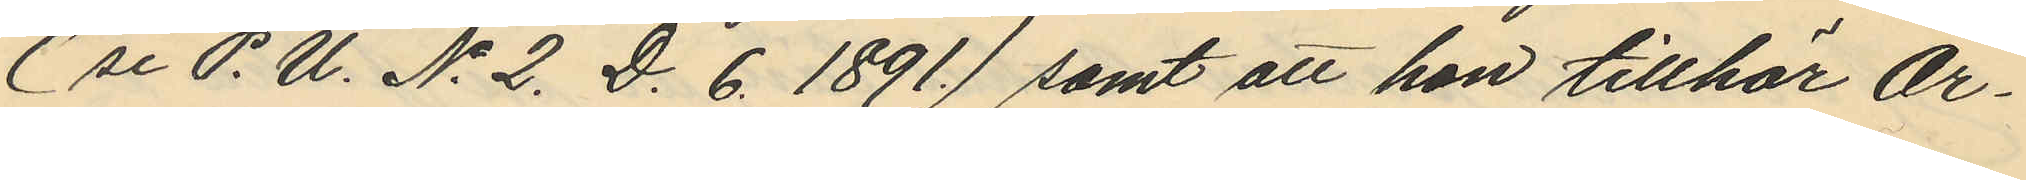(se P. U. No 2. D. 6. 1891.) samt att hon tillhör Ör¬
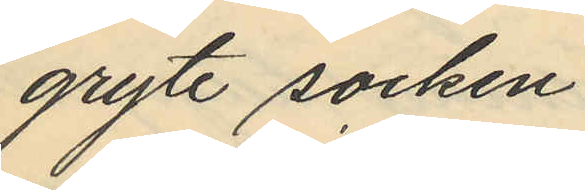gryte socken.
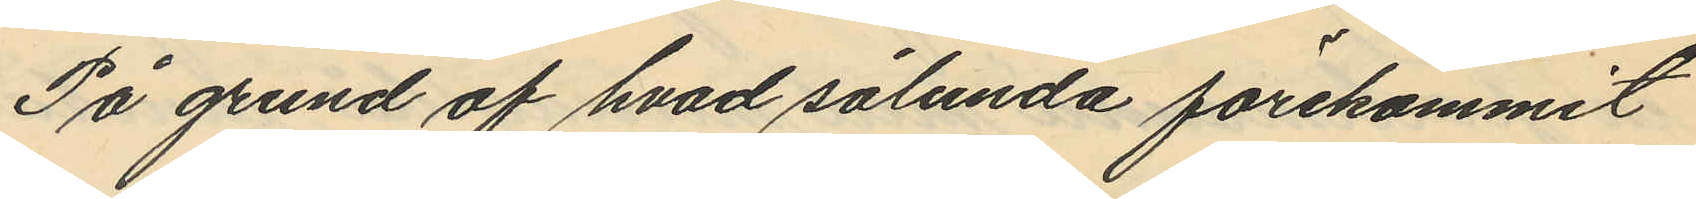På grund af hvad sålunda förekommit
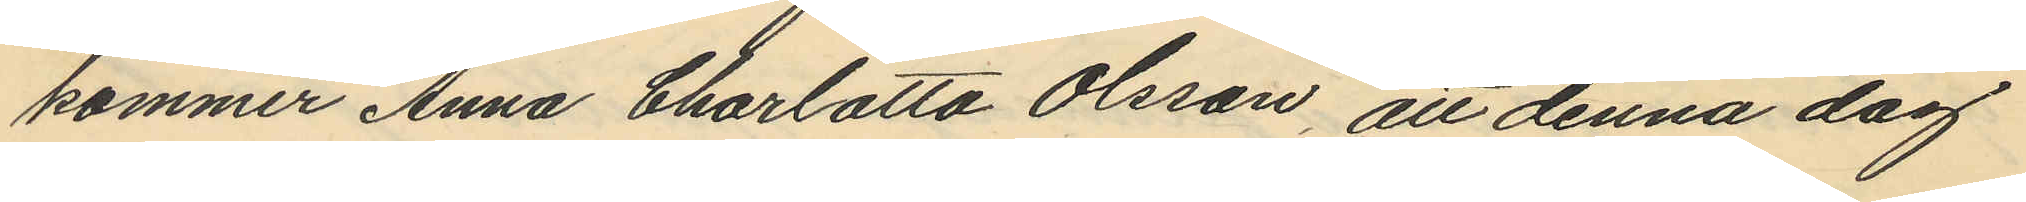kommer Anna Charlotta Olsson, att denna dag
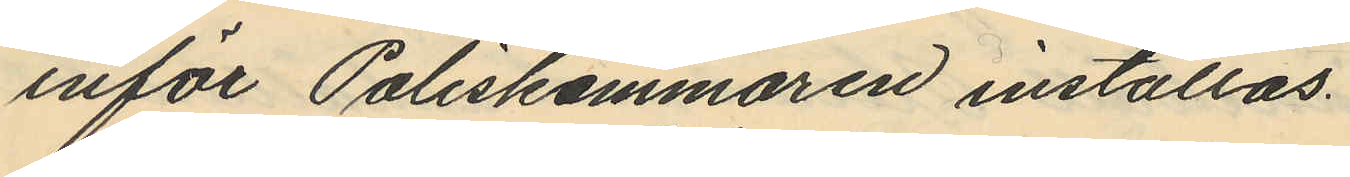inför Poliskammaren inställas.
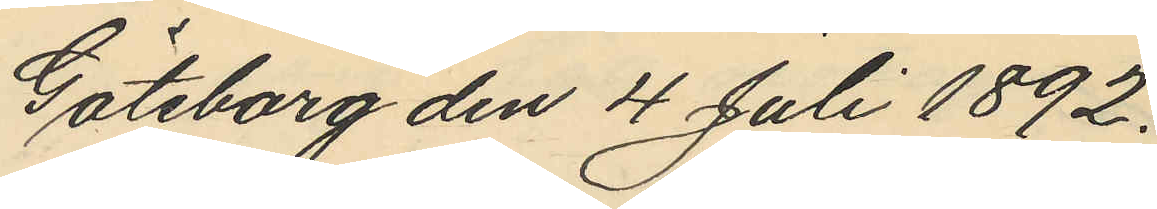Göteborg den 4 Juli 1892.
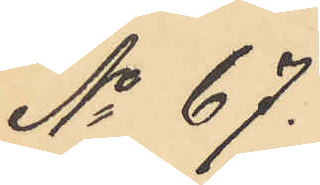No 67.
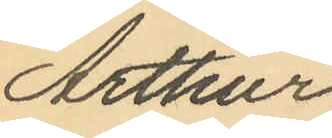Arthur
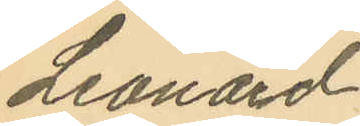Leonard
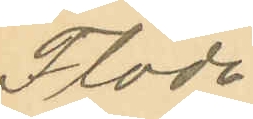Flode
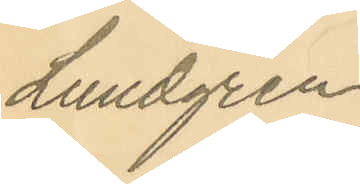Lundgren
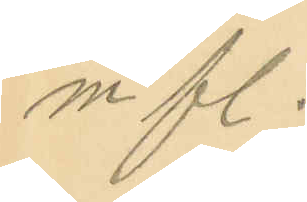m fl.
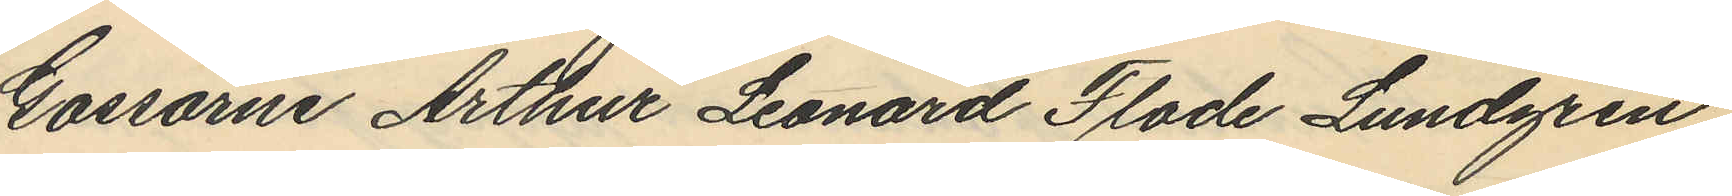Gossarne Arthur Leonard Flode Lundgren
